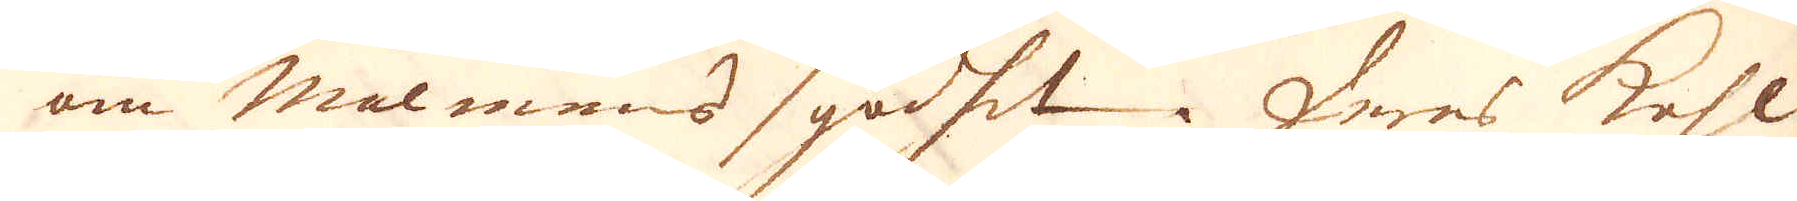om malmens godhet. Deras kohl
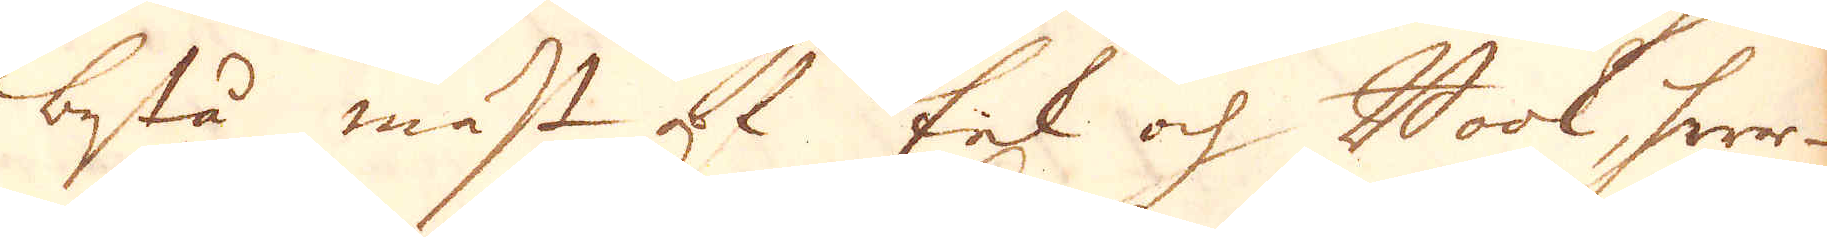bestå mäst at Eek och Book, hwar-
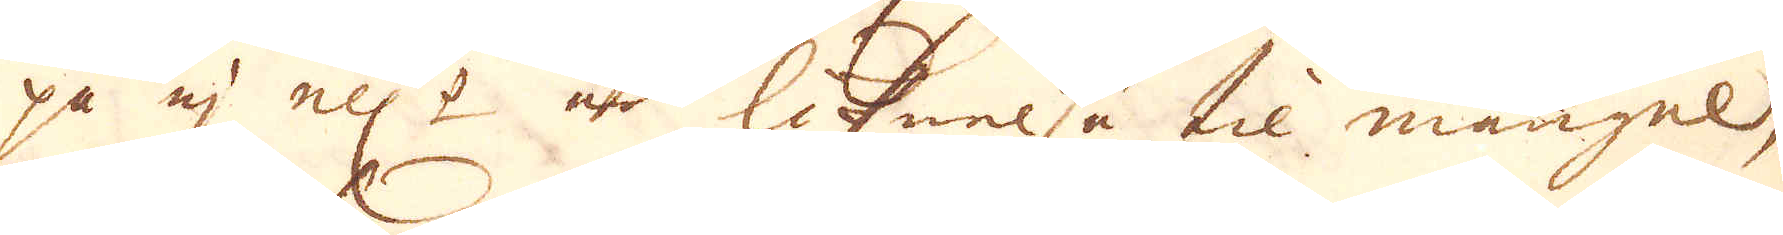på ej ell:r är liknelse til mangel,
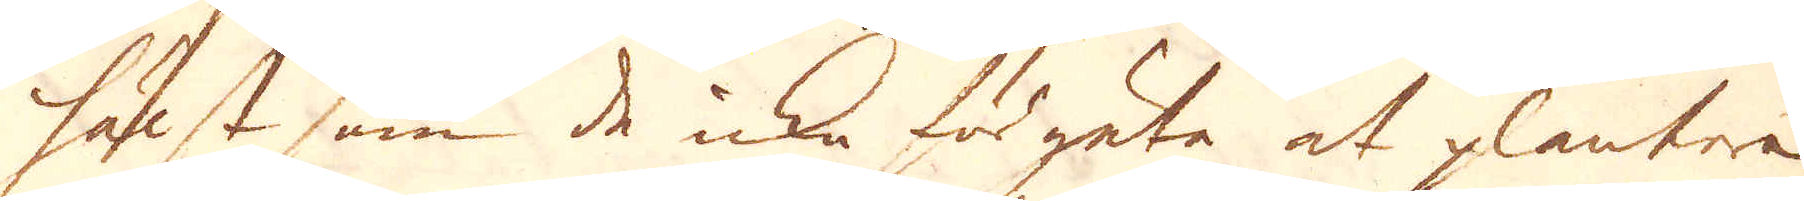hälst som de icke förgäta at plantera
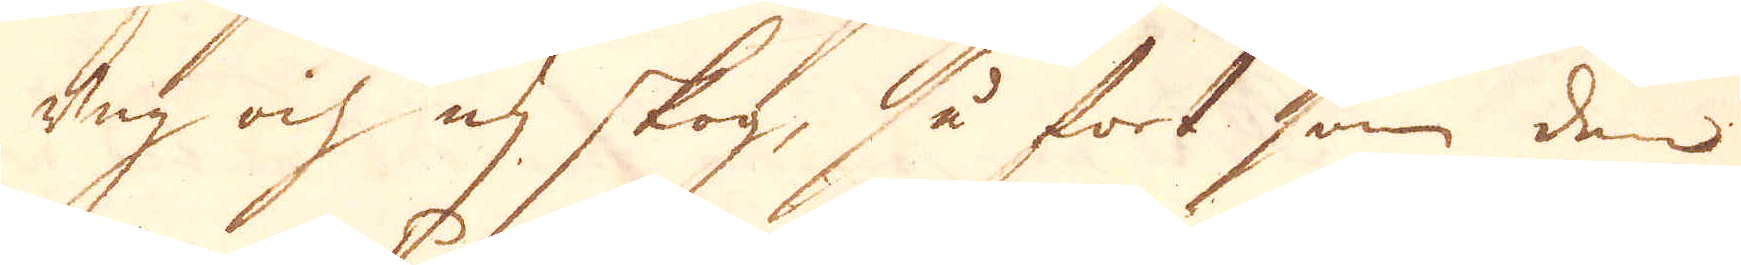ung och ny skog, så fort som den
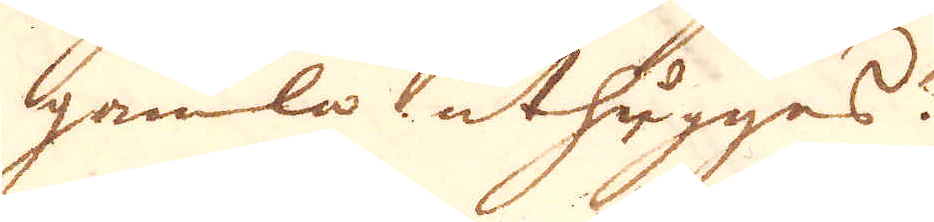gamla uthygges.
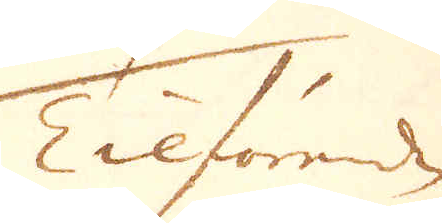Tilförende
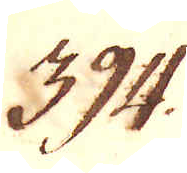394.
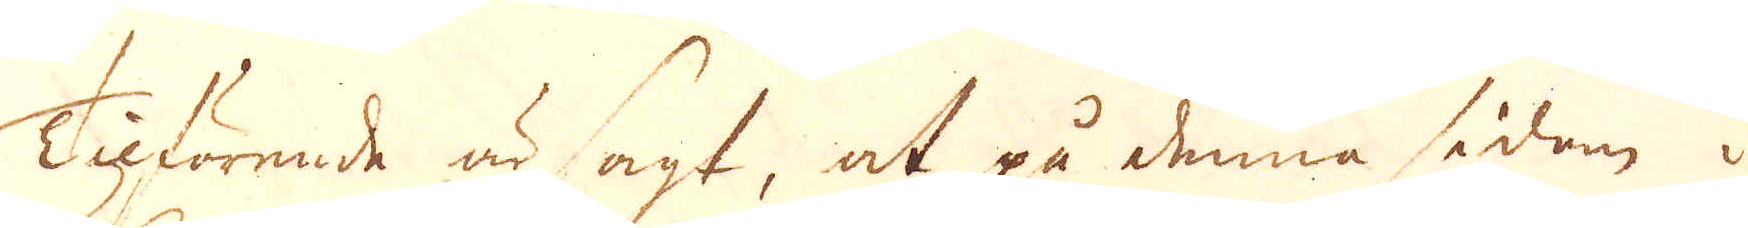Tilförende är sagt, at på denna sidan i
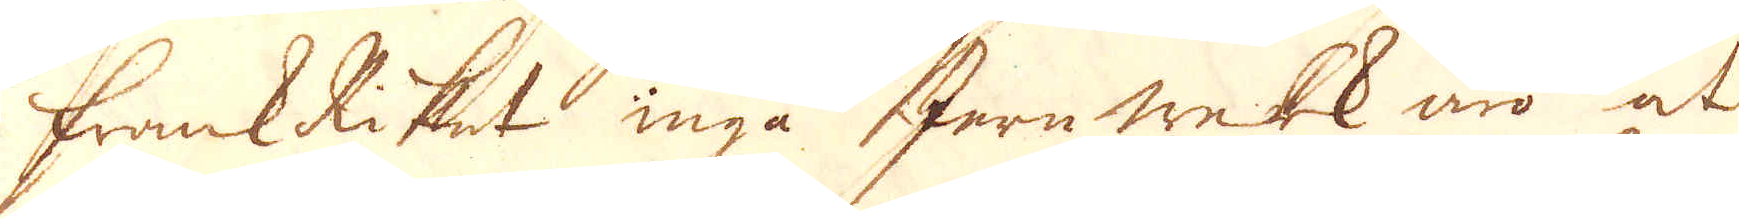FrankRiket inga Jern werk äro at
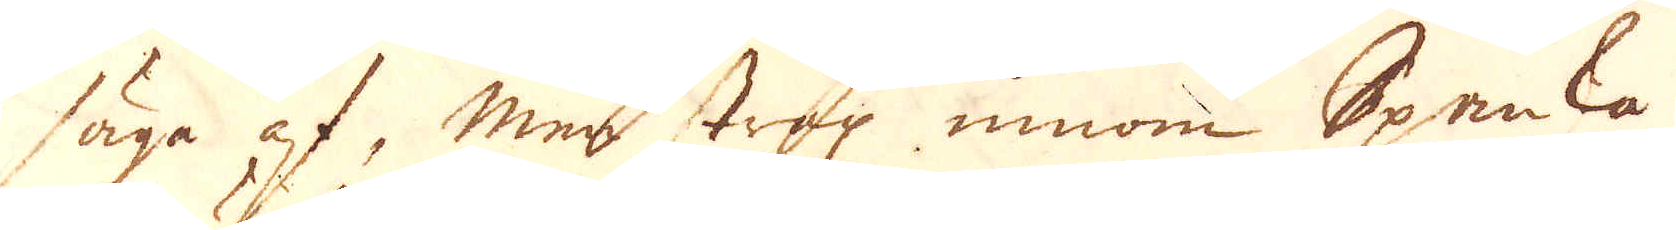säga af, mer strax innom Spanska
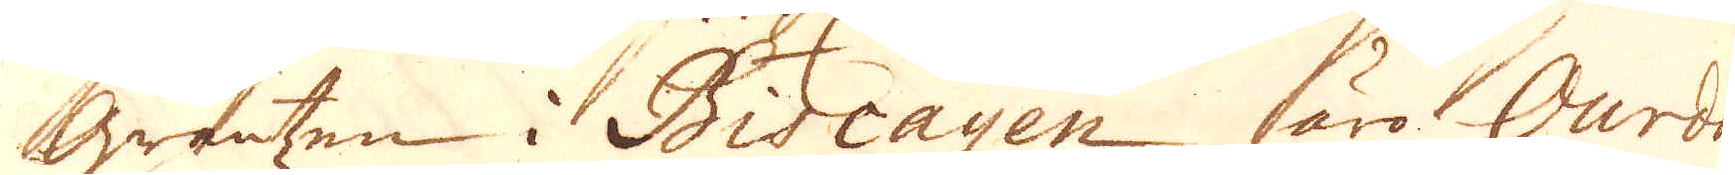Gräntzen i Biacayen äro Ourda-
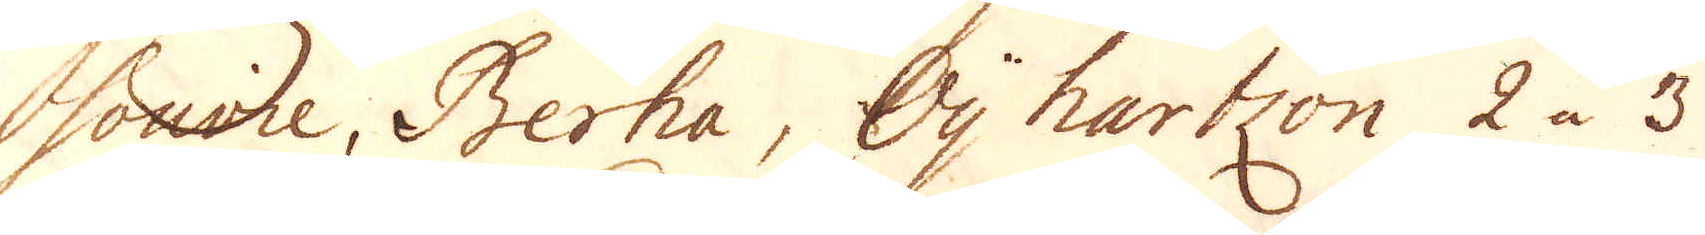sonvie, Berha, Oy hartzon 2 a 3
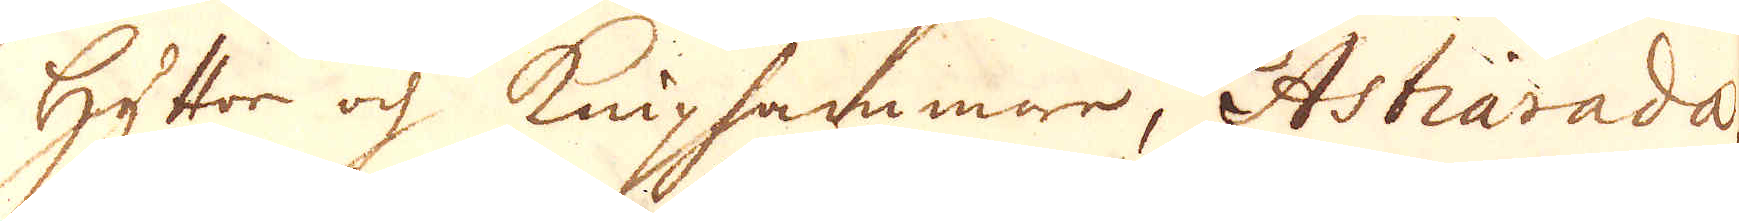hyttor och kniphammare, Atstiarada,
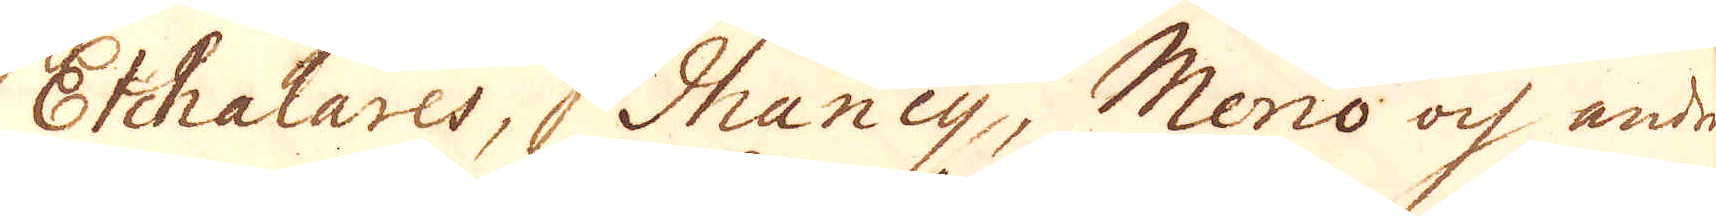Etchalares, Ihancy, Merio och andre
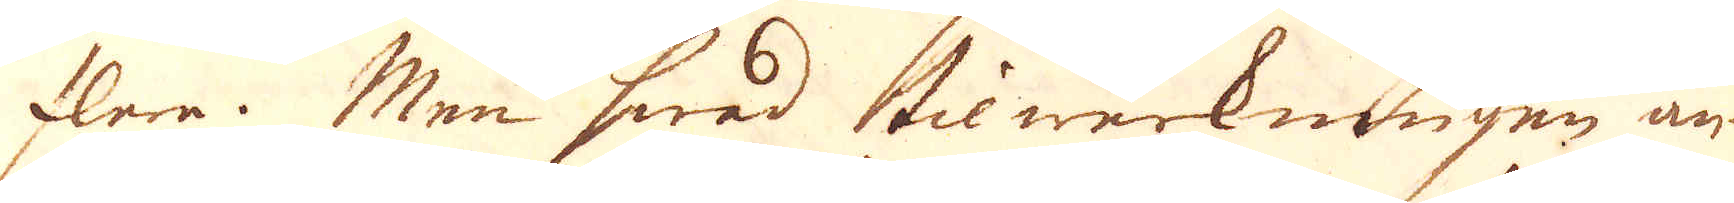flera. Men hwad tilwerkningen an-
